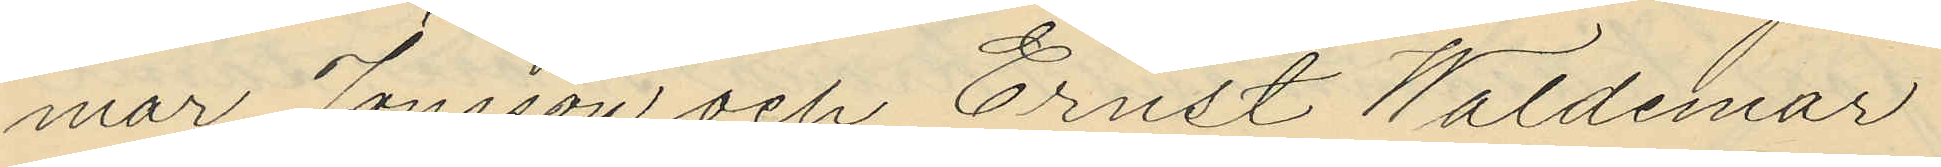mar Jonsson och Ernst Waldemar
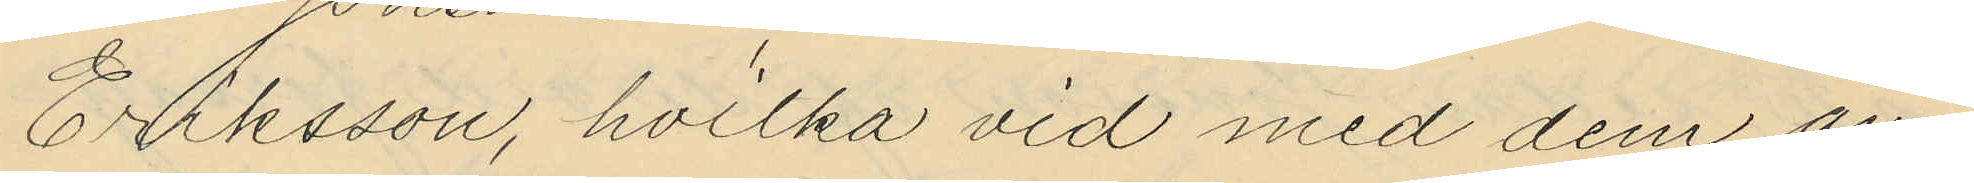Eriksson, hvilka vid med dem an¬
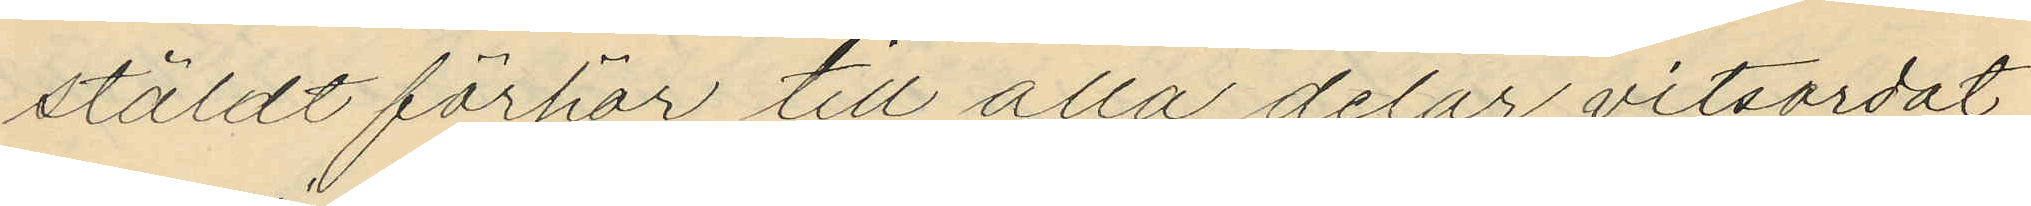stäldt förhör till alla delar vitsordat
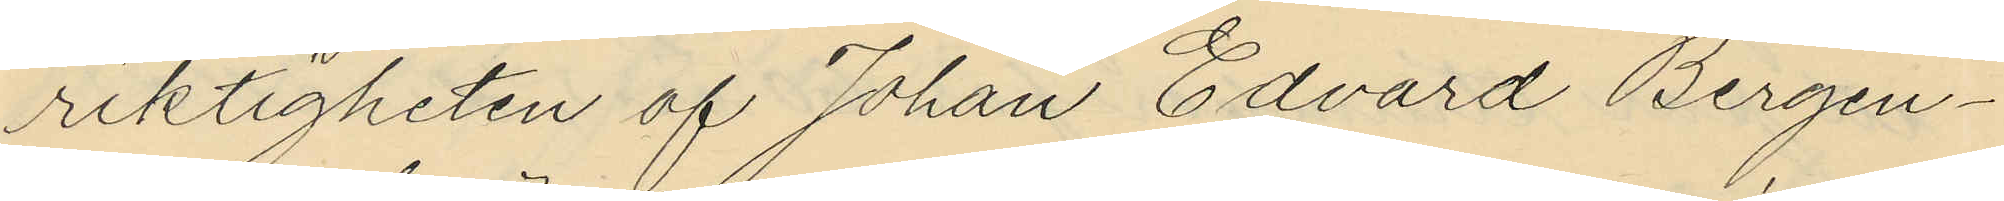riktigheten af Johan Edvard Bergen¬
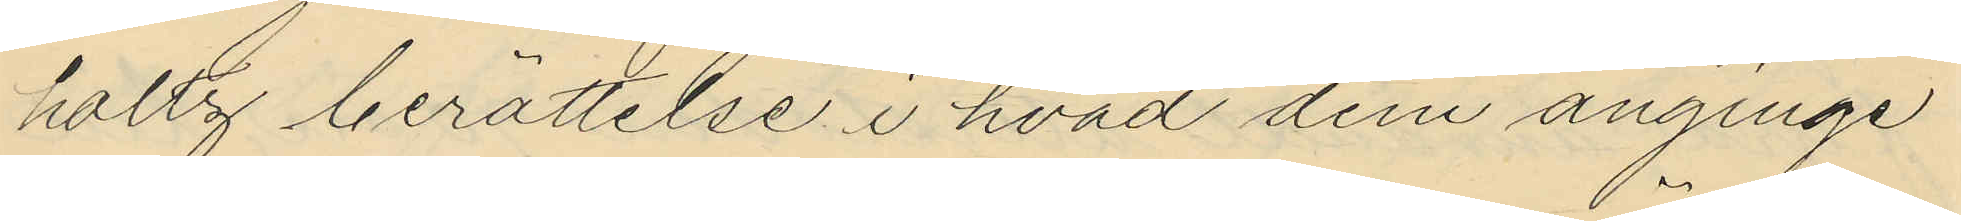holtz berättelse i hvad dem anginge
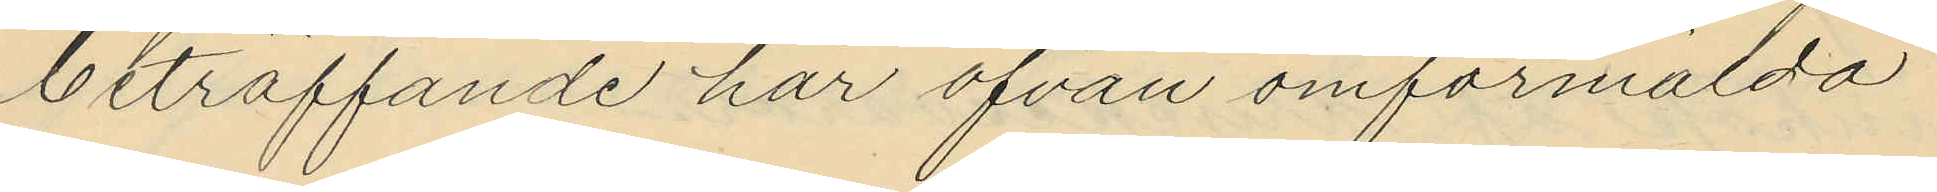beträffande har ofvan omförmälda
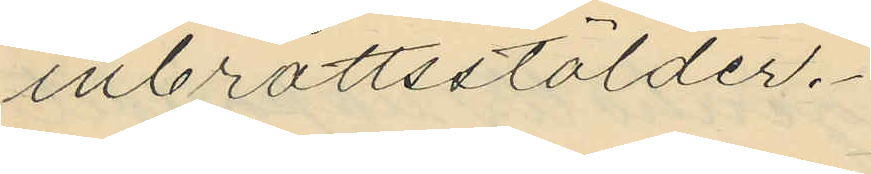inbrottsstölder.
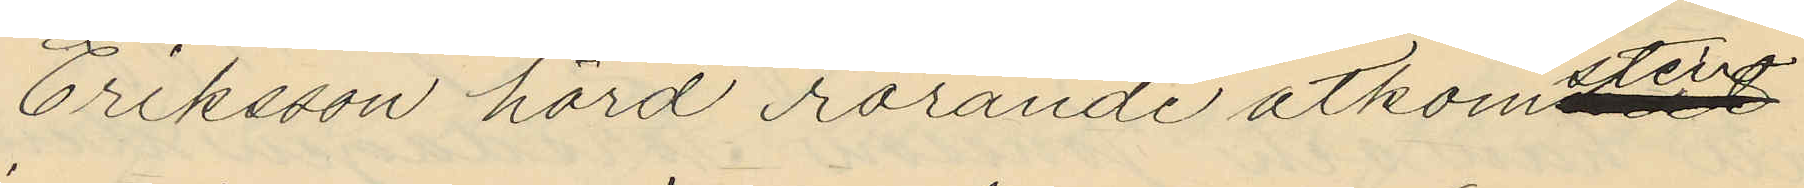Eriksson hörd rörande åtkomstant
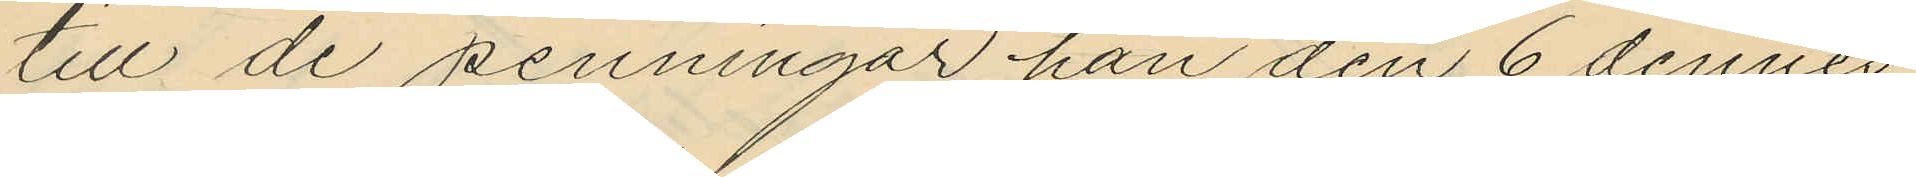till de penningar han den 6 dennes
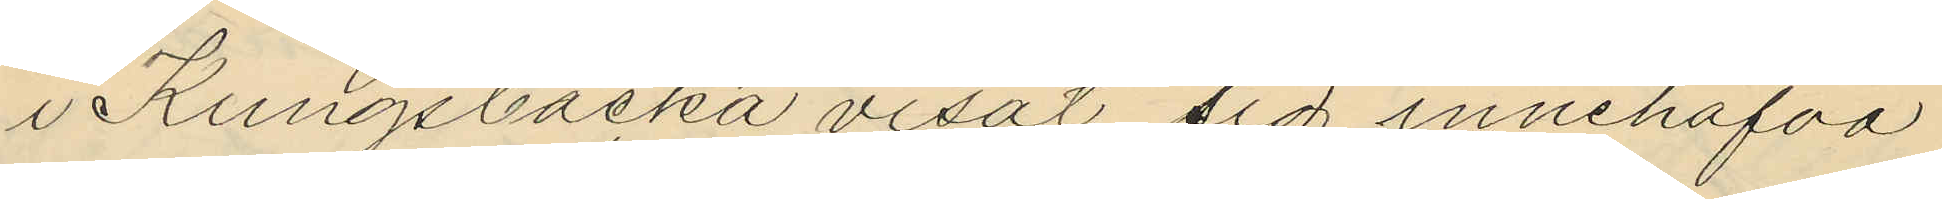i Kungsbacka visat sig innehafva
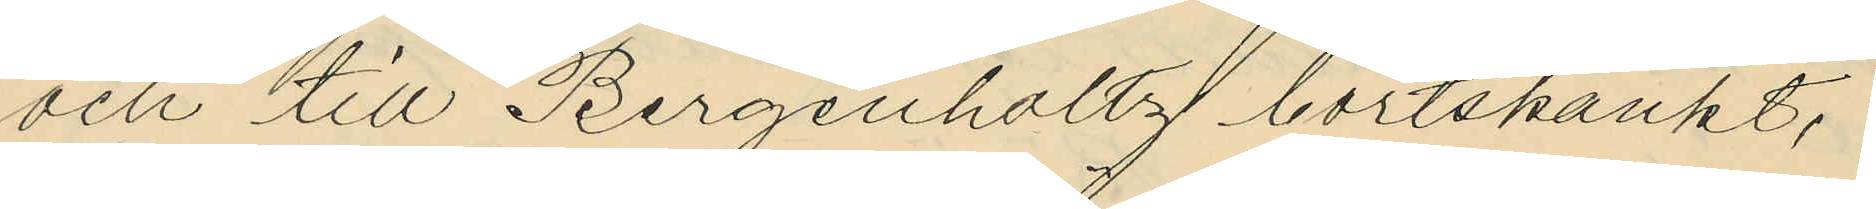och till Bergenholtz bortskänkt,
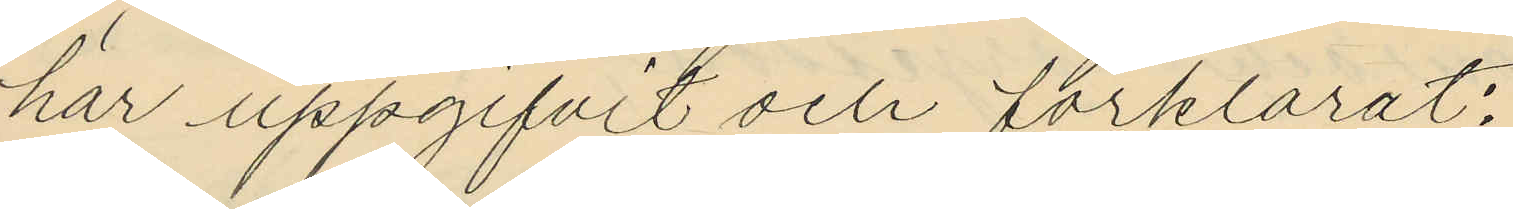har uppgifvit och förklarat:
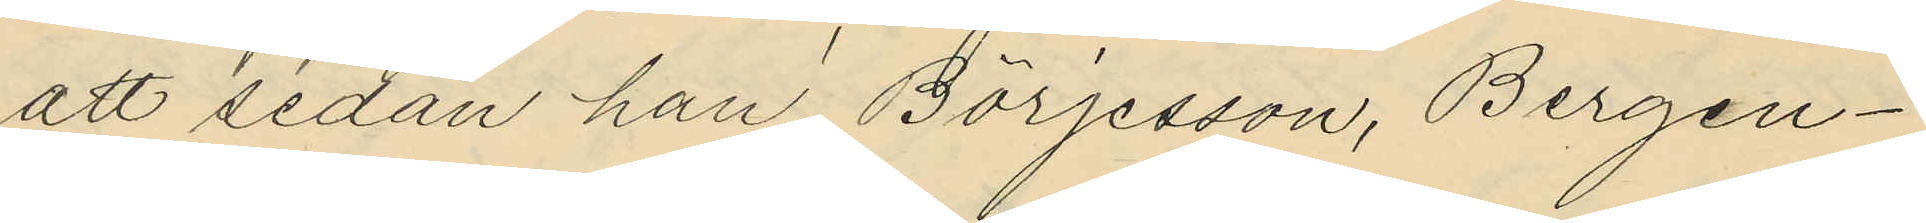att sedan han Börjesson, Bergen¬
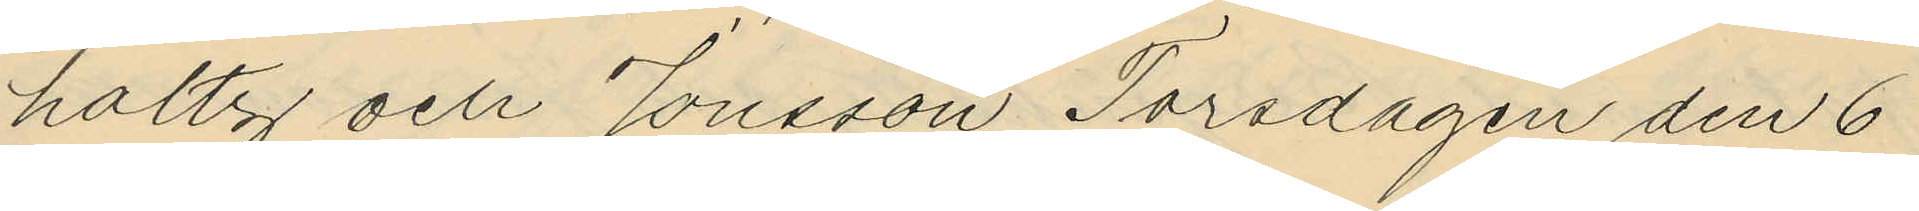holtz och Jonsson Torsdagen den 6
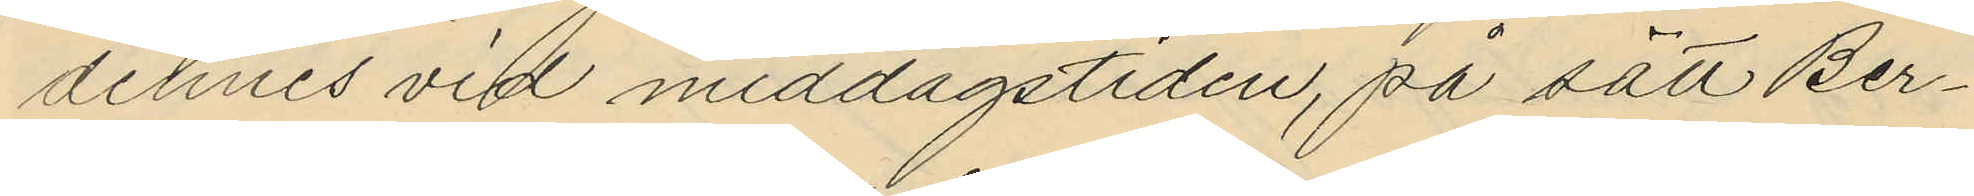dennes vid middagstiden, på sätt Ber¬
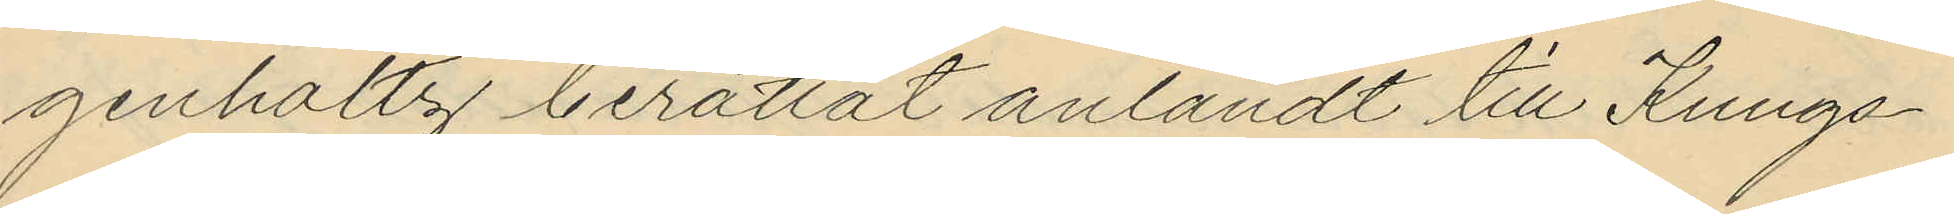genholtz berättat anländt till Kungs¬
